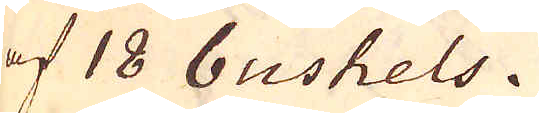af 18 bushels.
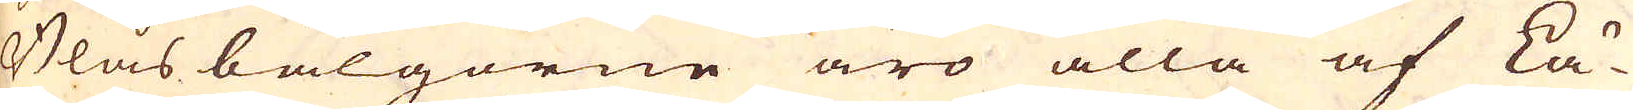Blåsbälgorne äro alla af Lä-
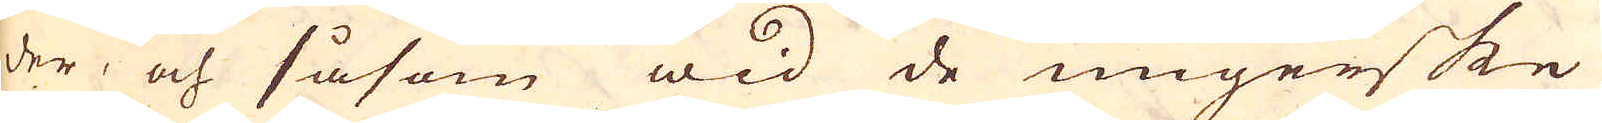der, och såsom wid de ungerske
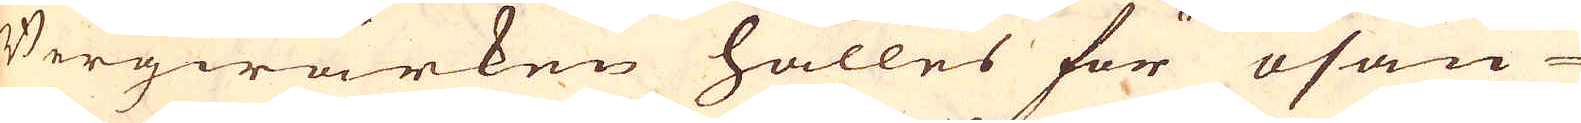Bergwärken hålles för osan-
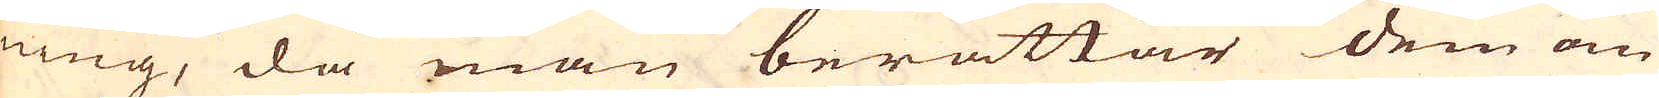ning, då man berättar dem om
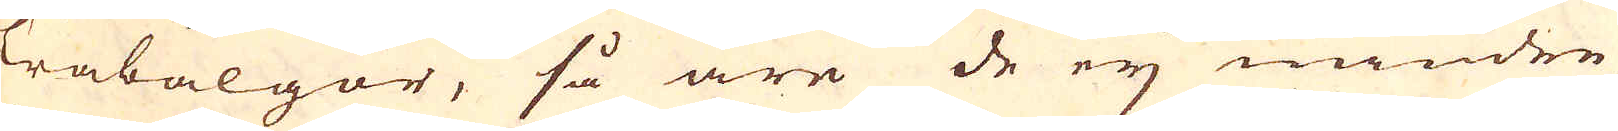Träbälgor, så äre de eij mindre
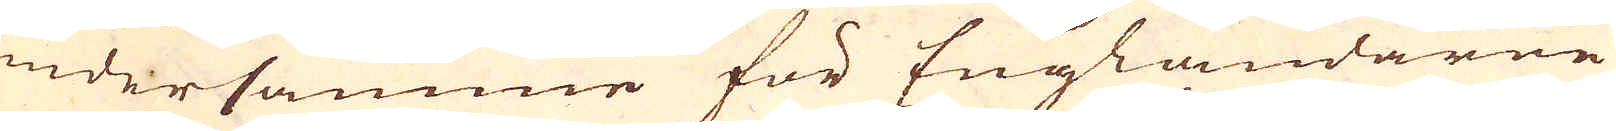undersamme för Engländarne
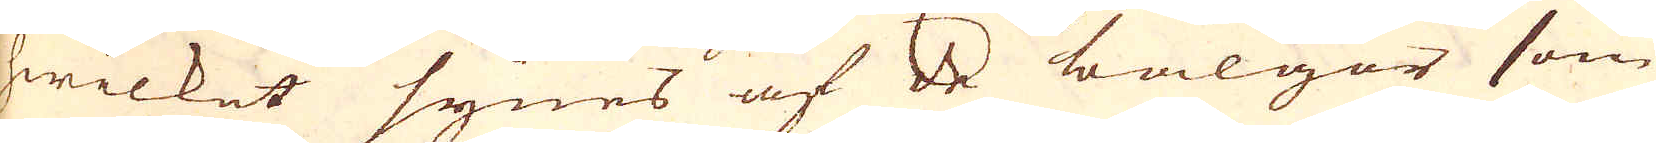hwilket synes af de bälgor som
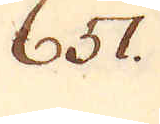657.
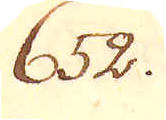652.
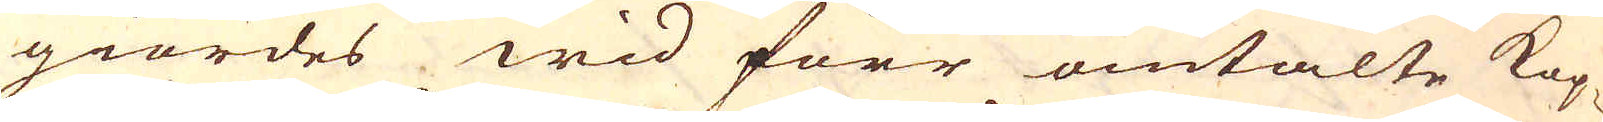giordes wid förr omtalte kop-
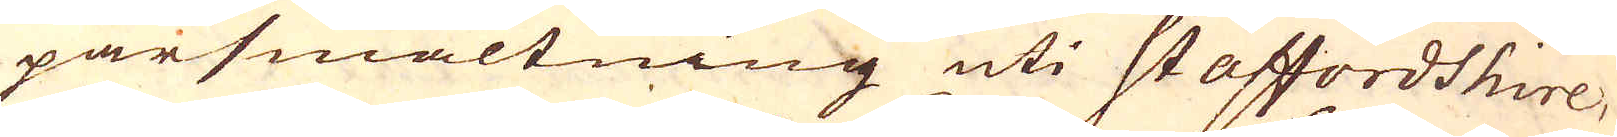parsmältning uti Staffordshire,
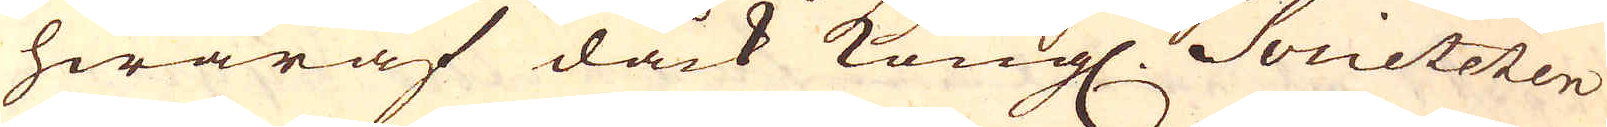hwaraf dåck Kongl. Societeten
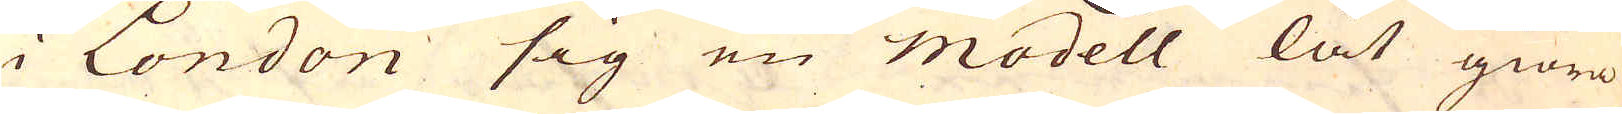i London sig en modell lät giöra
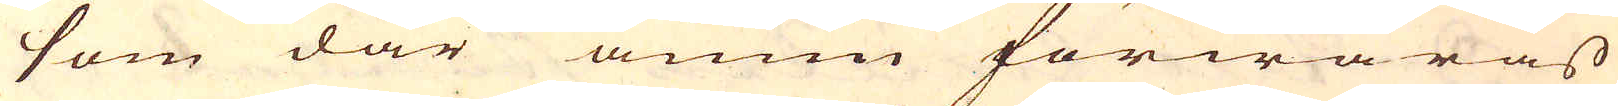som där ännu förwaras
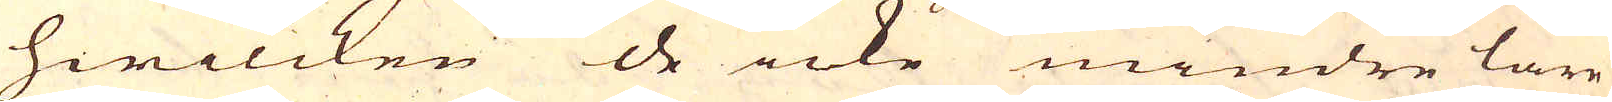hwilcken de icke mindre läre
